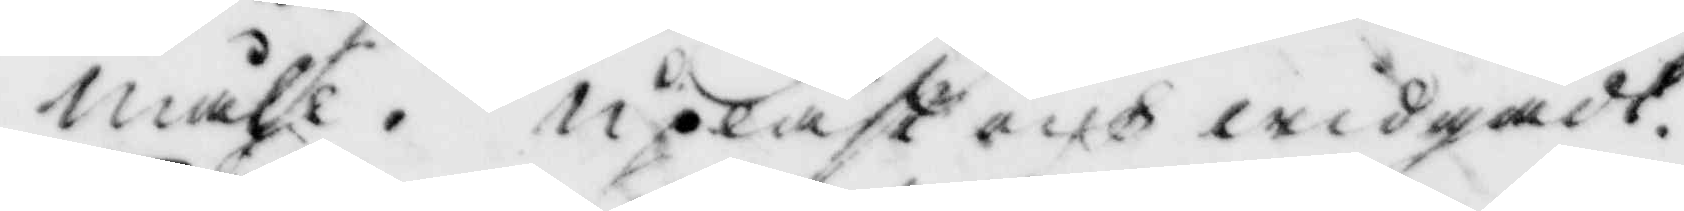måhl. upläst och widgådt.
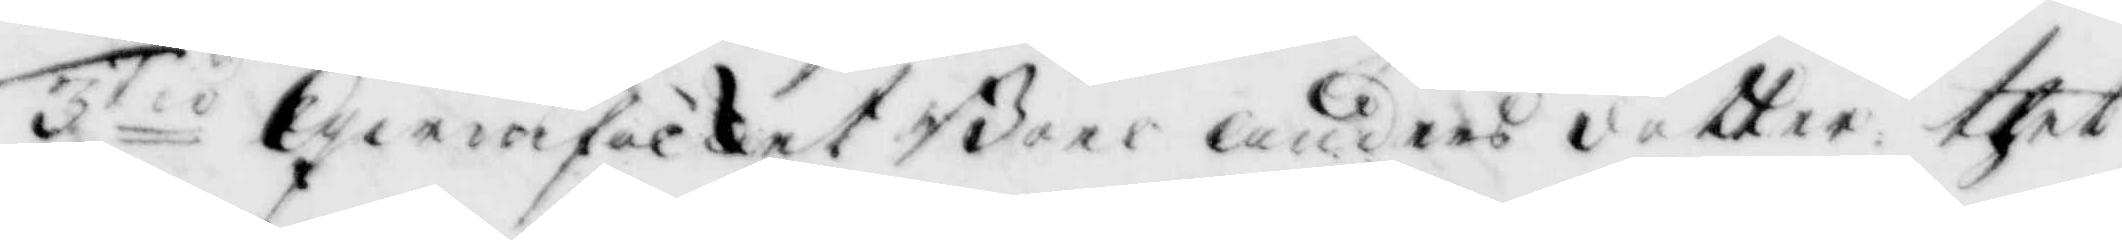3tio Qwinfolket Boel Andersdotter thet
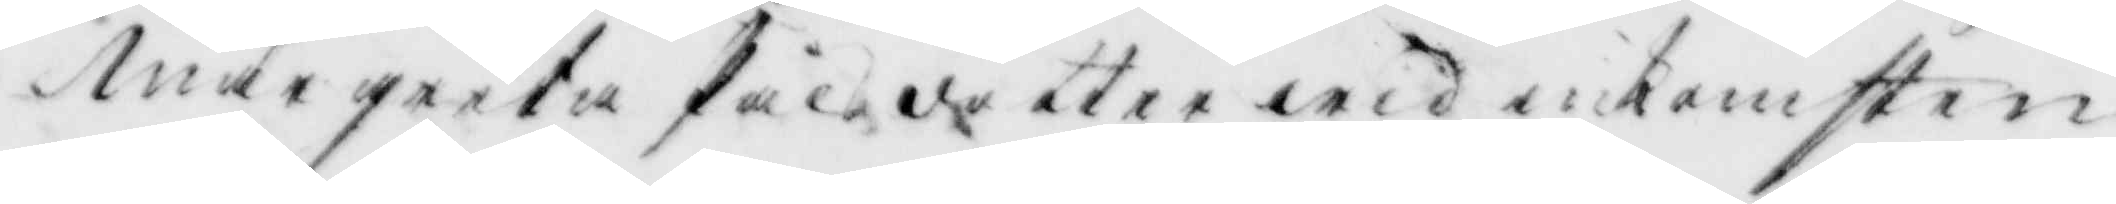Margreta Pålsdotter wid inkomsten
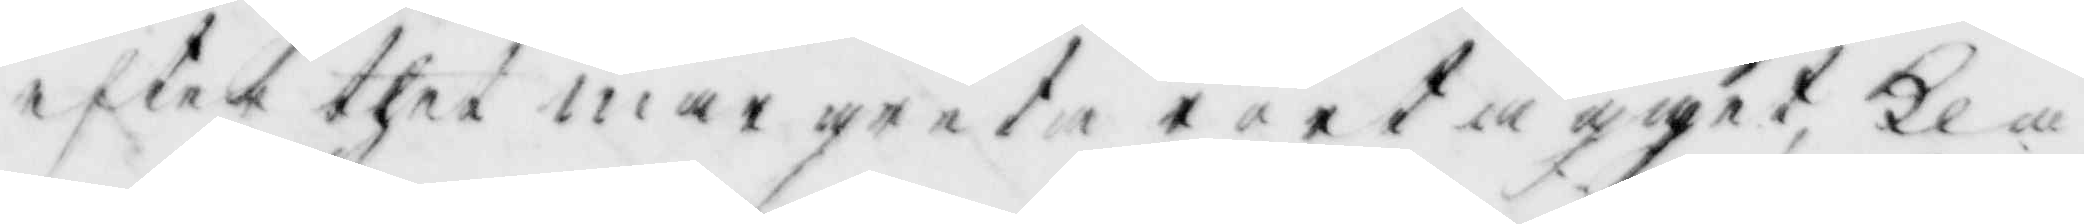efter thet margreta rört ägget, kla¬
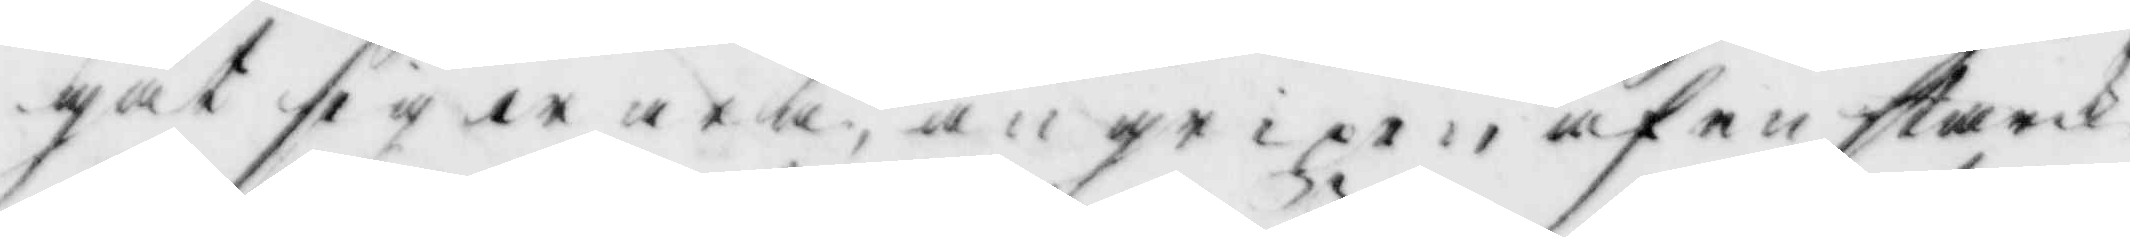gat sig wara, wngrioen af en stark
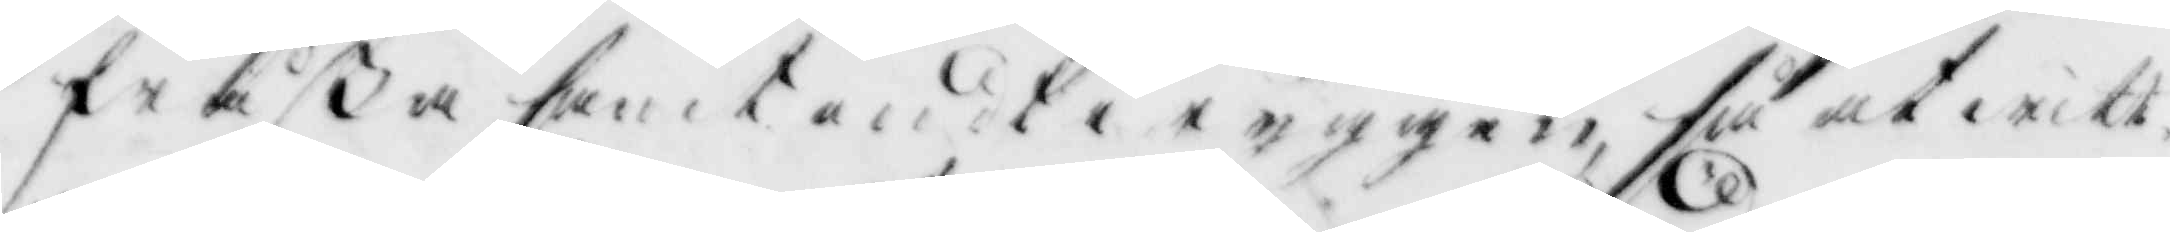fråßa samt ondt i ryggen, så at witt¬
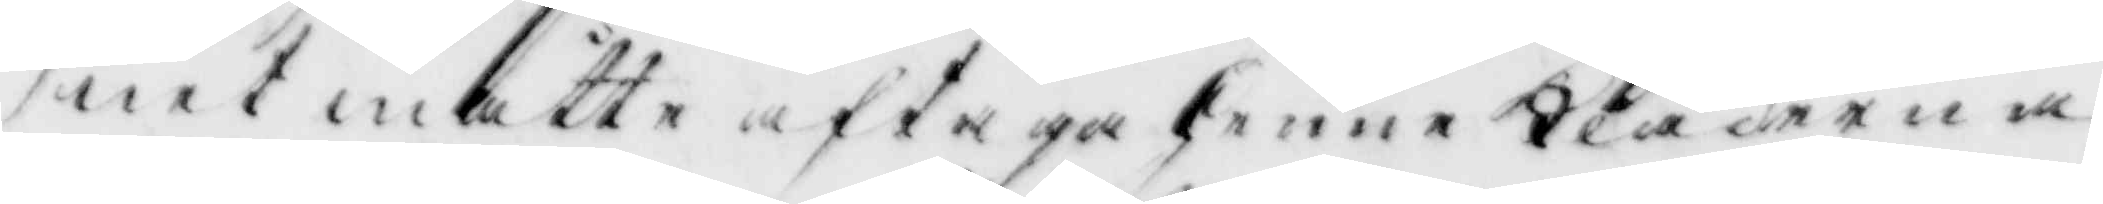net måtte aftaga henne Kläderna
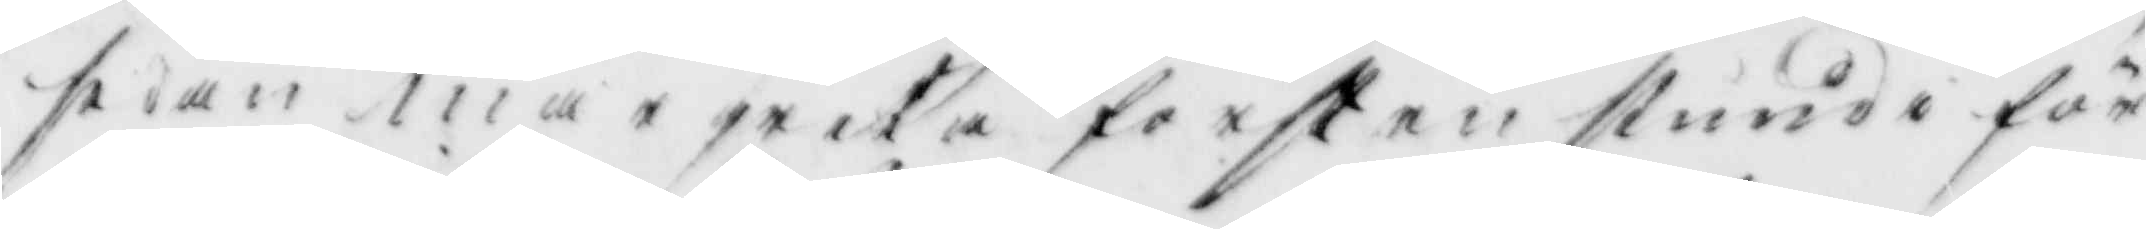sedan margreta först en stund i för¬
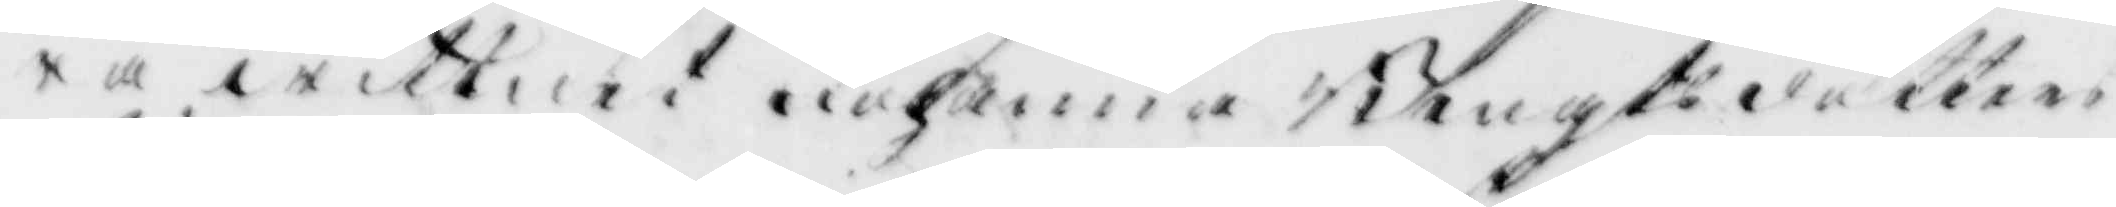ra wittnet Johanna Bengtsdotters
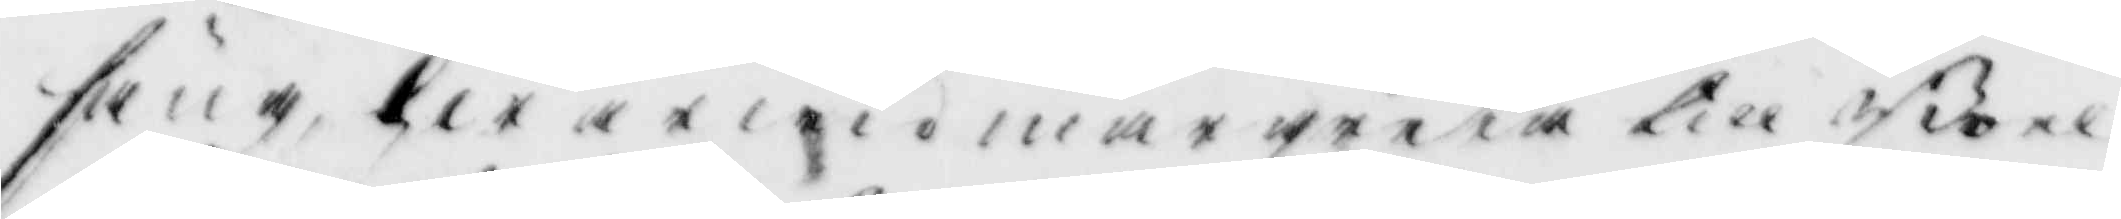säng, hwarwid margreta till Boel
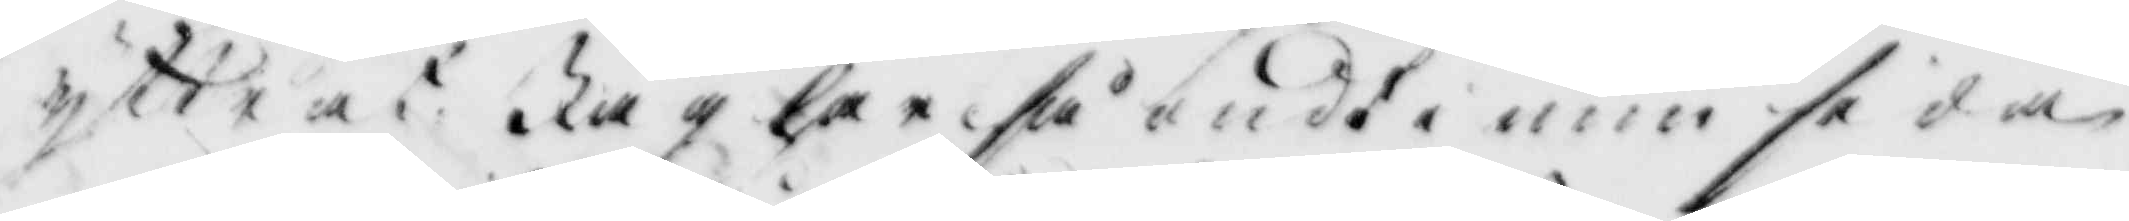yttrat: Jag har så ondt i ena sidan
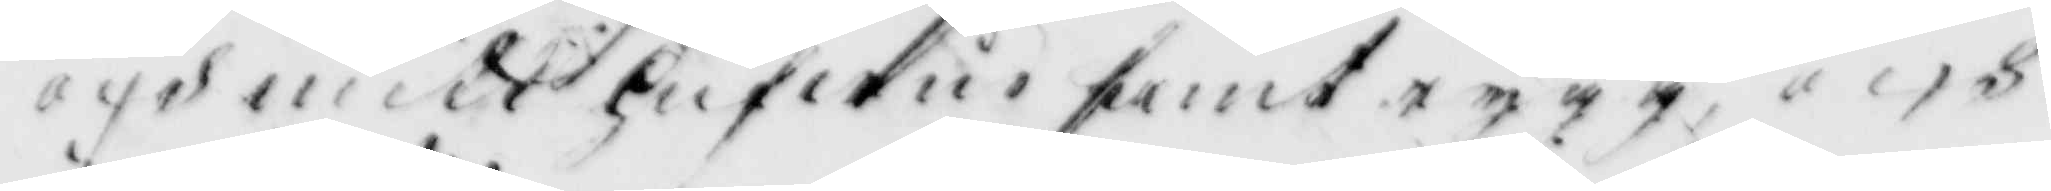och mitt hufwud samt rygg, och
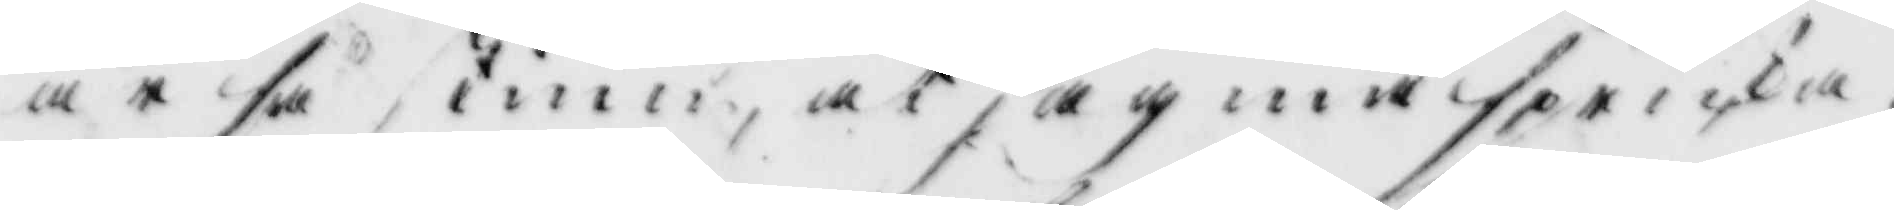är så stinn, at jag må spricka.
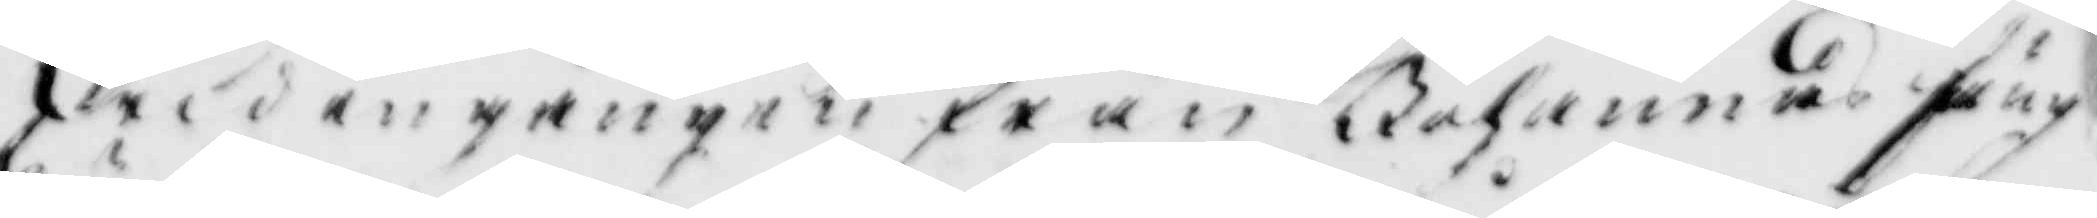wid ingången från Johannas säng
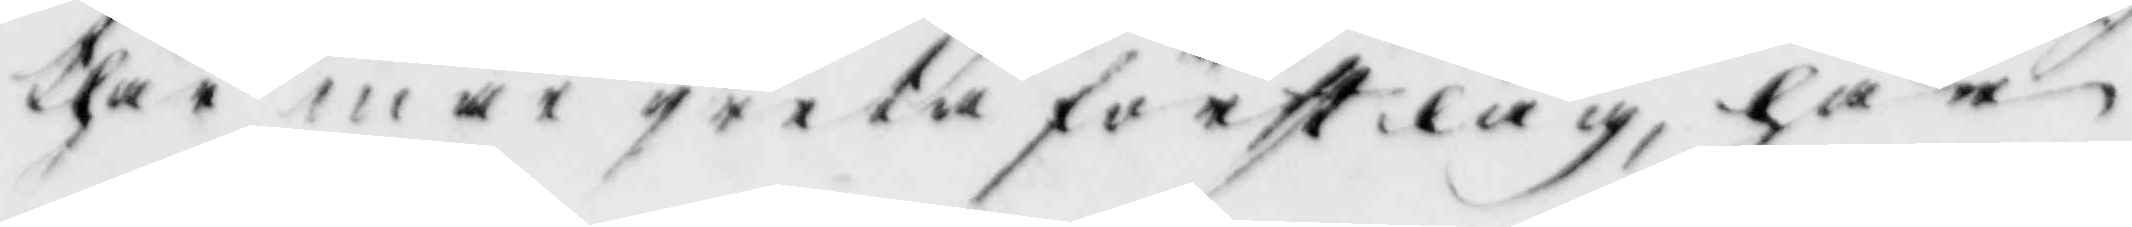thär war greta först låg, har
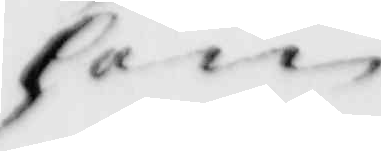hon
